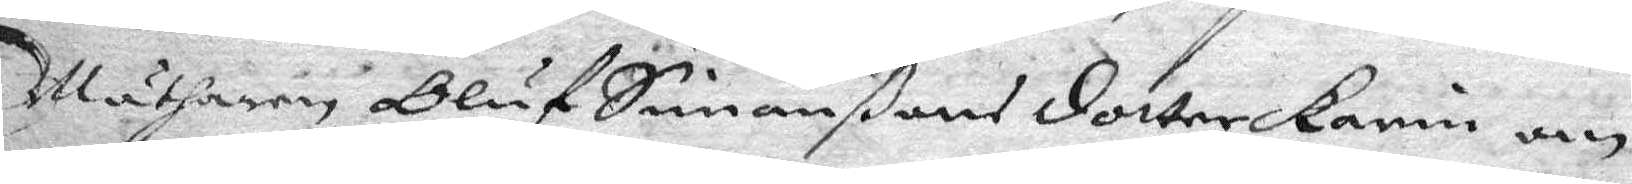Mätharen Oluf Simonßons dotter Karin om
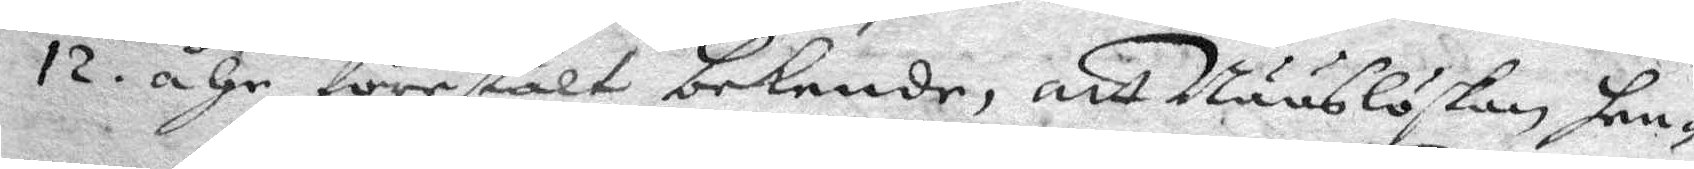12. åhr förestält bekende, att Nääslöskan hen¬
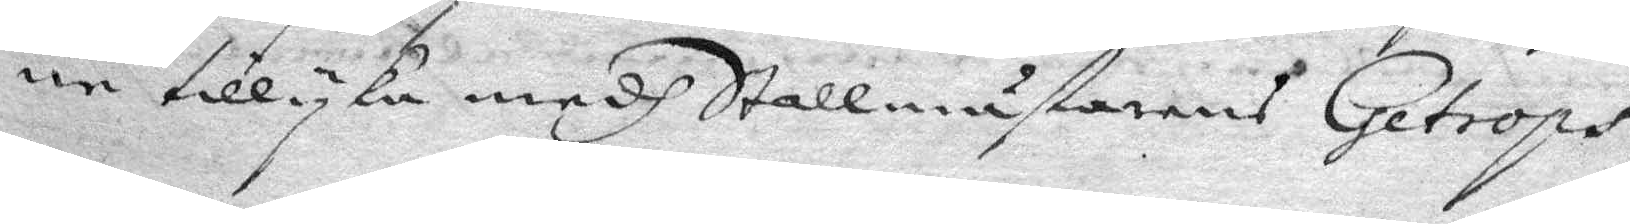ne tillyka medh Stallmästarens Getrops
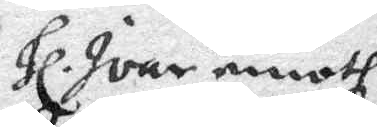Hl. Ivar emoth
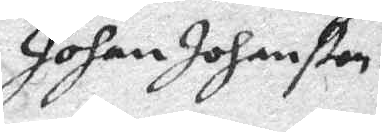Johan Johanßon.
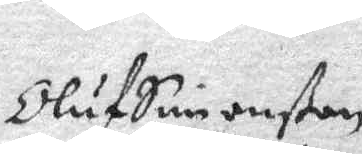Oluf Simonßon
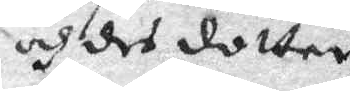och des dotter
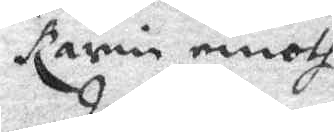Karin emoth
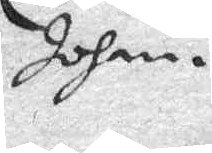Johan
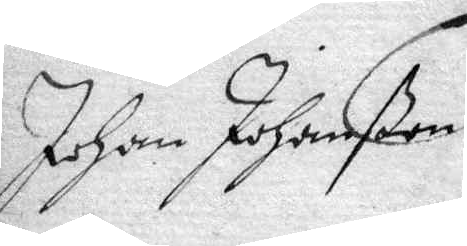Johan Johansson
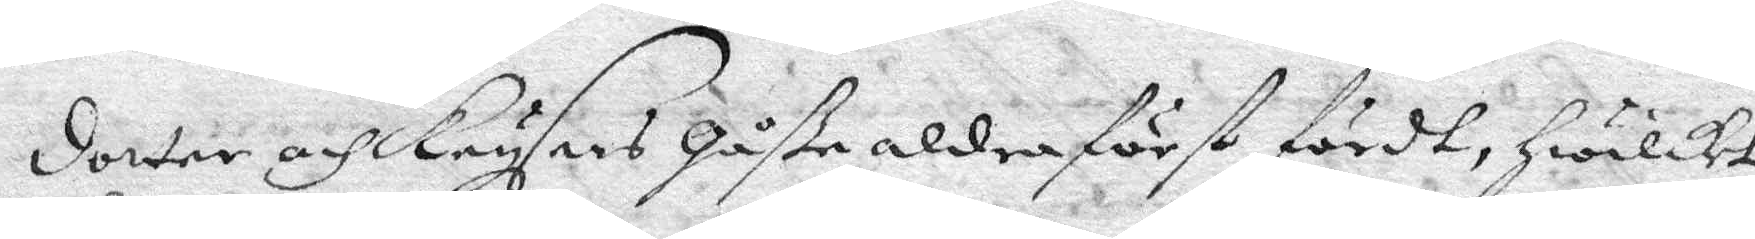dotter och krysers gåße allraförst fördes, Hwilket
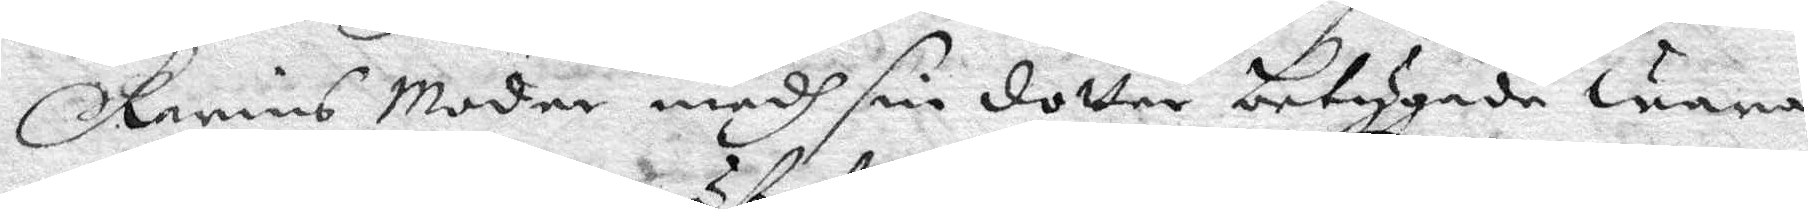Karins Moder medh sin dotter betygade wara
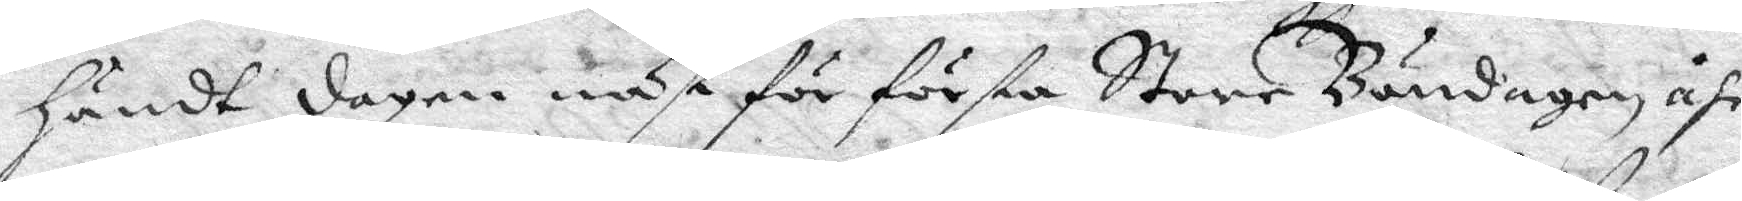Händt dagen näst för första Store Böndagen åhr
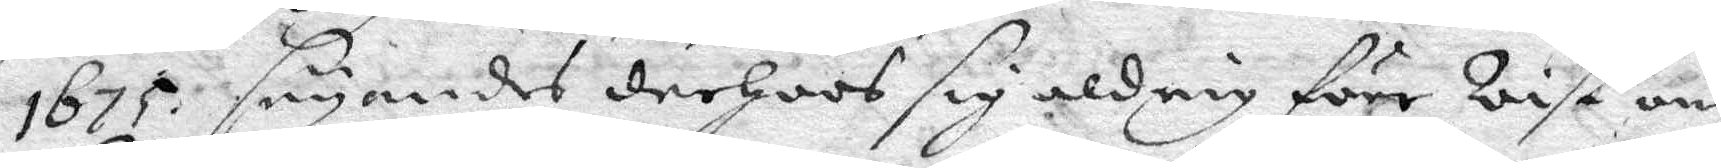1675, sägandes derhoos sig aldrig före Wist om
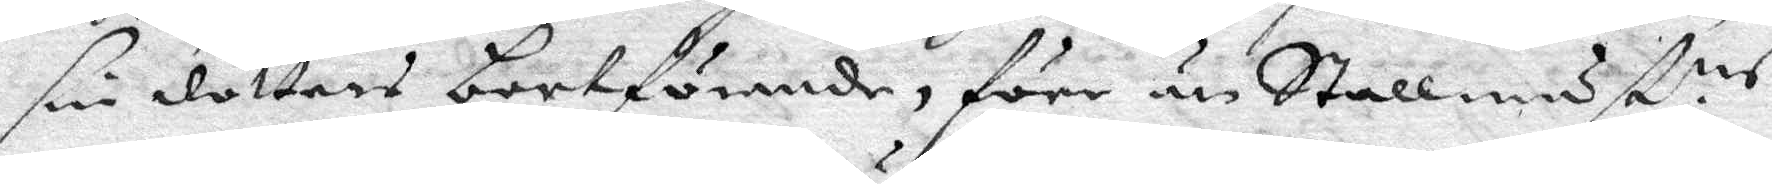sin dotters bortförande, före än Stallmäst.ns
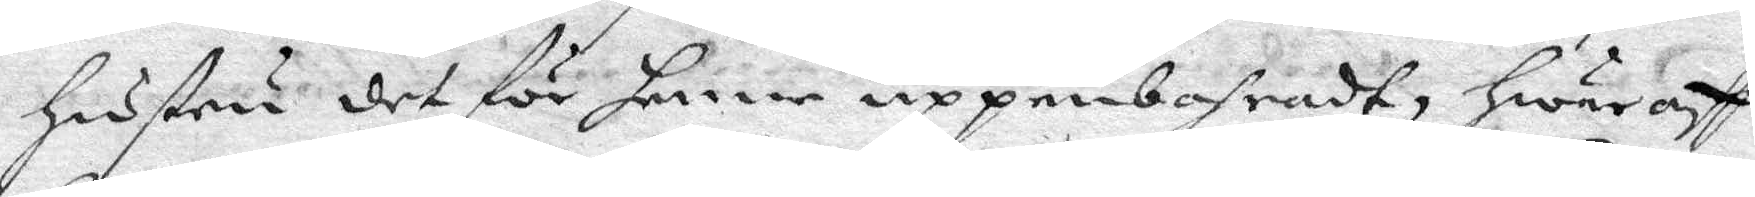Hustru det för henne uppenbahradt, hwar aff
